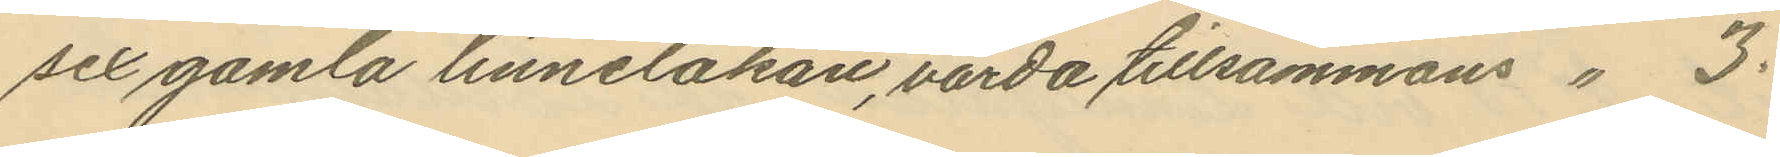sex gamla linnelakan, värda tillsammans " 3:
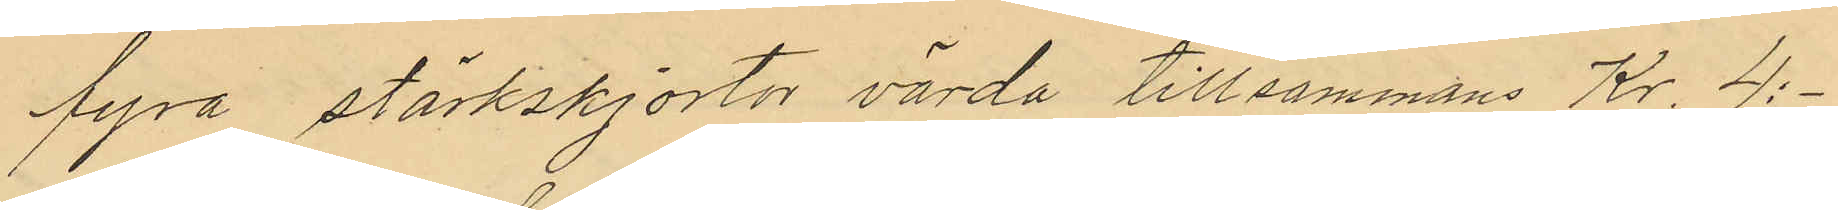fyra stärkskjortor värda tillsammans Kr. 4:-
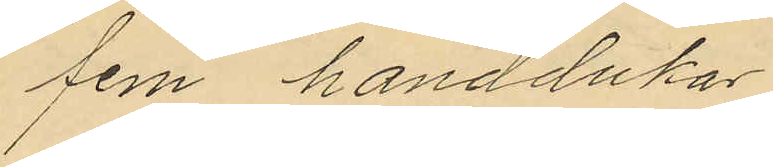fem handdukar
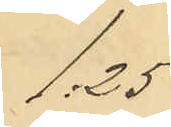1:25
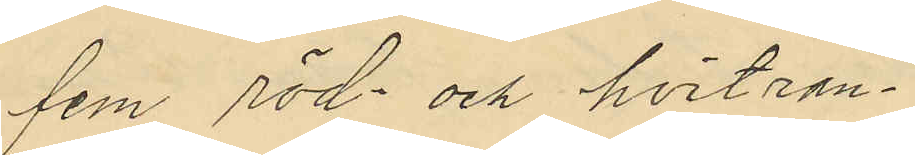fem röd- och hvitran¬
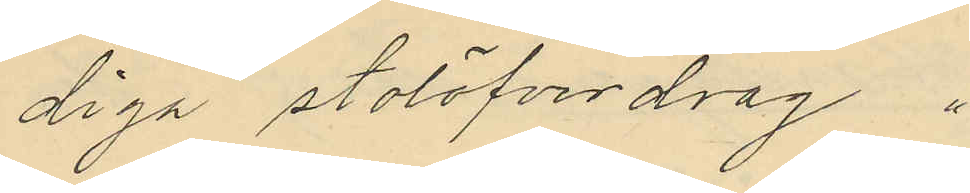diga stolöfverdrag "
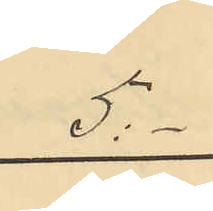5:-
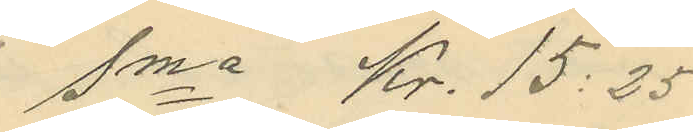Sma Kr. 15:25
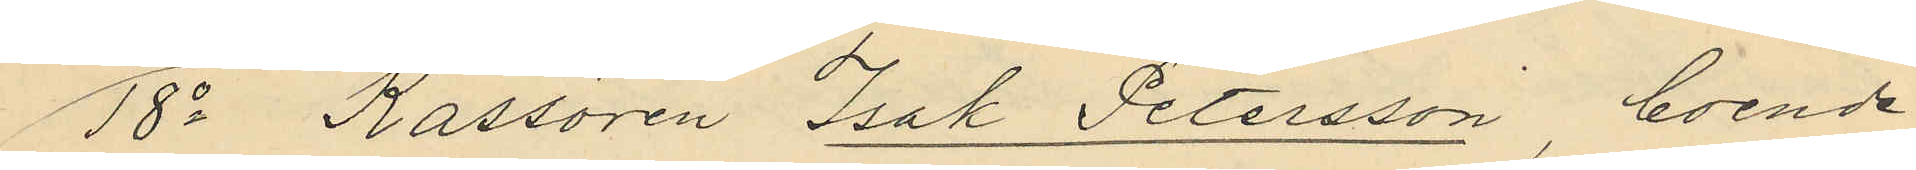18o Kassören Isak Petersson, boende
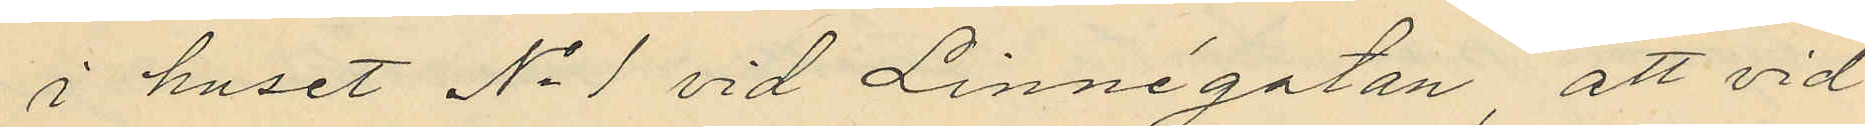i huset No 1 vid Linnégatan, att vid
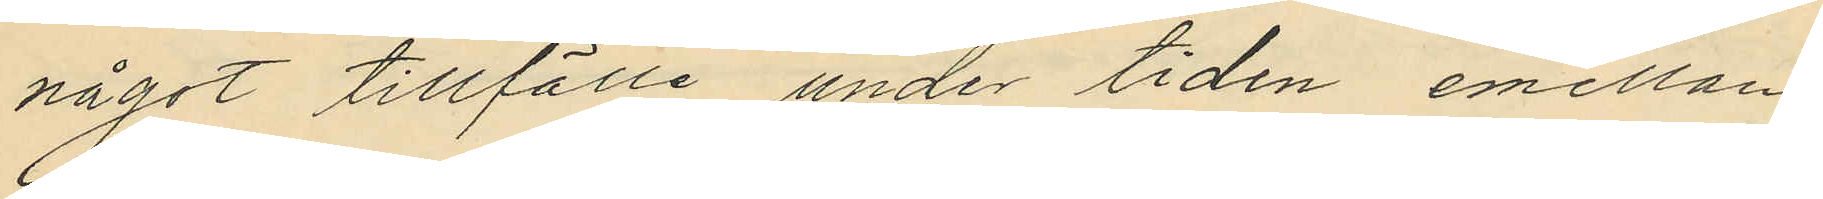något tillfälle under tiden emellan
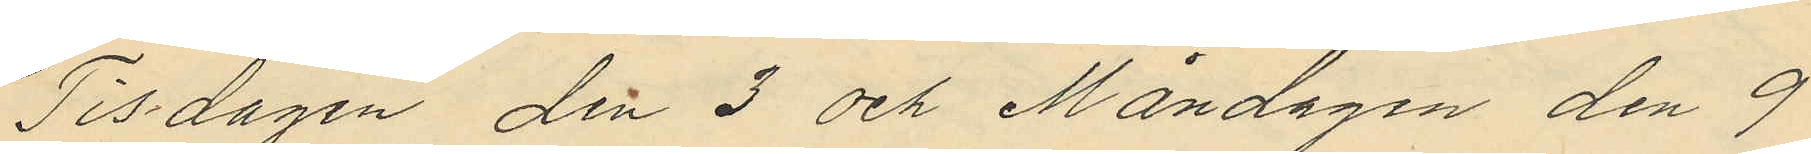Tisdagen den 3 och Måndagen den 9
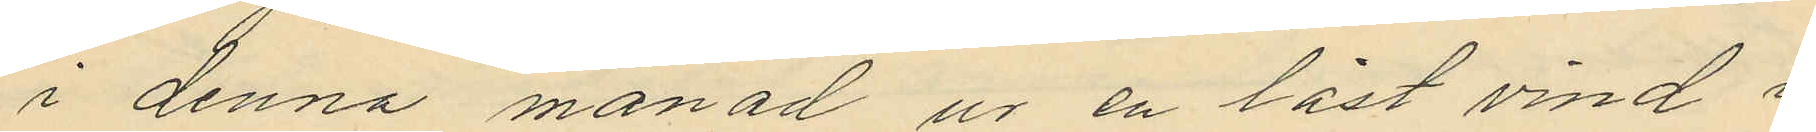i denna månad ur en låst vind i
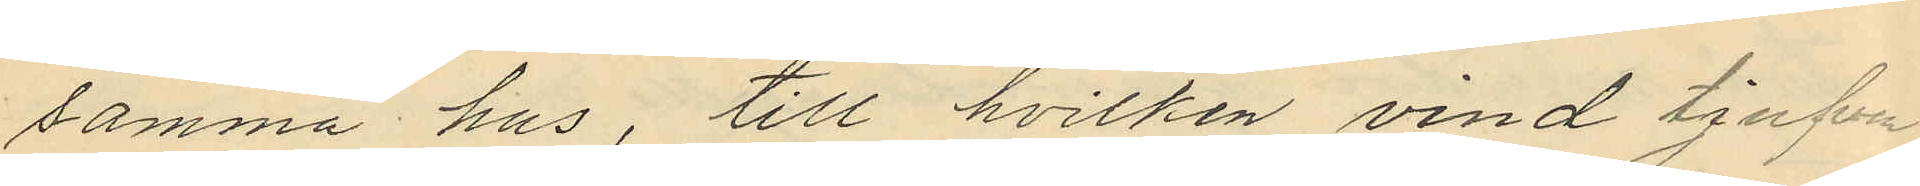samma hus, till hvilken vind tjufven
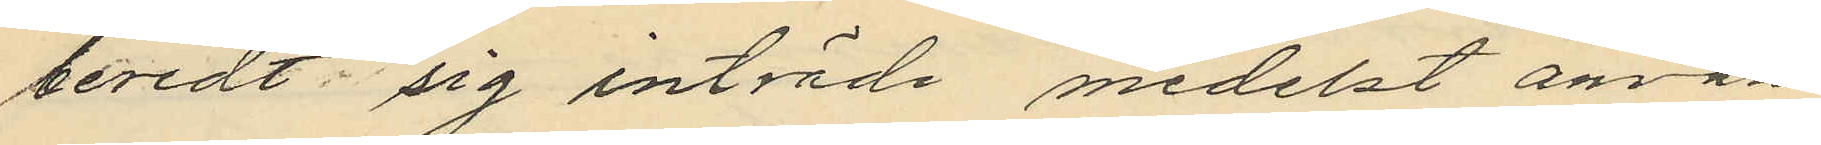beredt sig inträde medelst använ¬
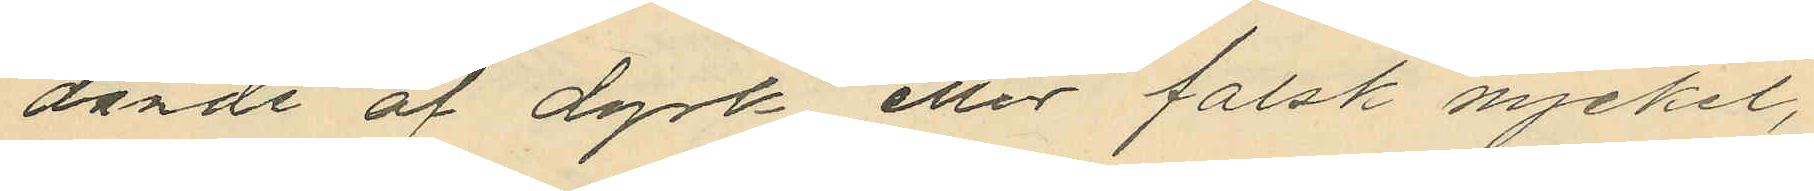dande af dyrk eller falsk nyckel,
